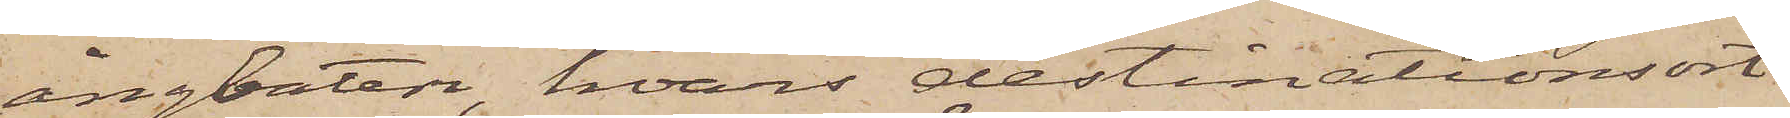ångbåten, hvars destinationsort
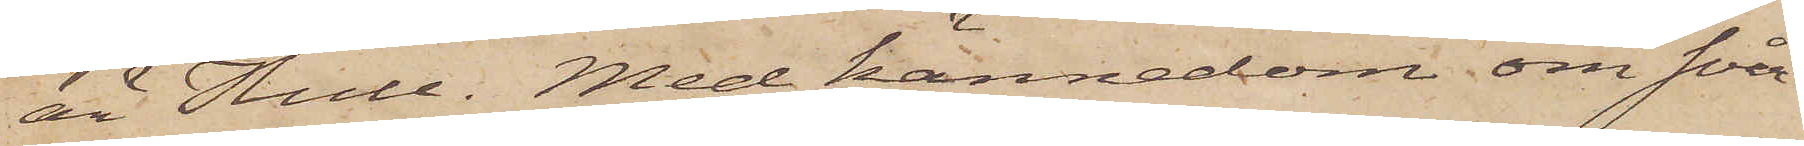är Hull. Med kännedom om svå¬
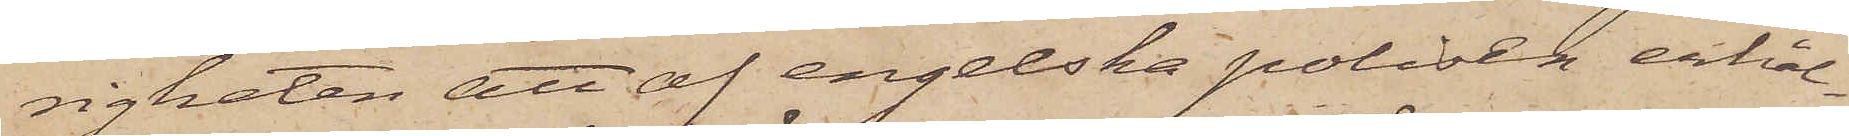righeten att af engelska polisen erhål¬
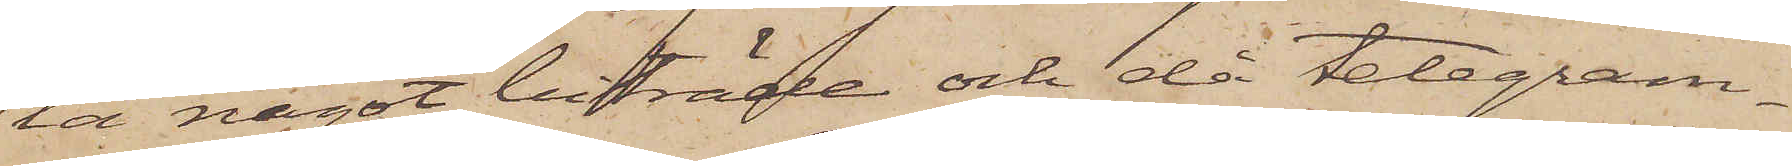la något biträde och då telegram¬
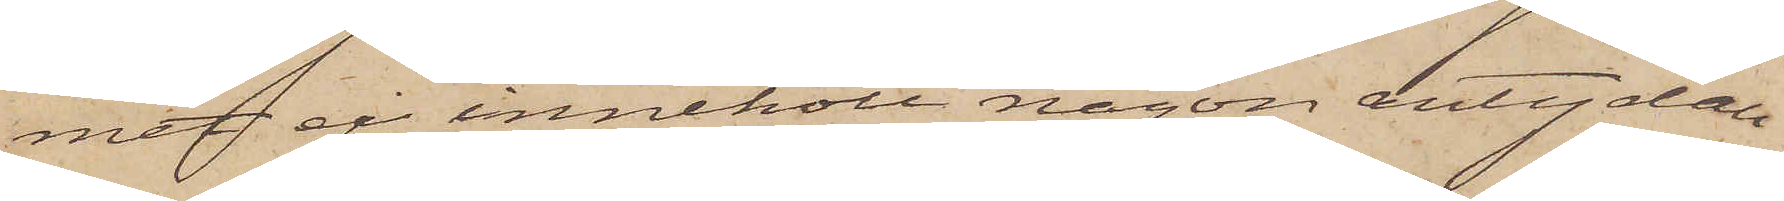met ej innehöll någon antydan
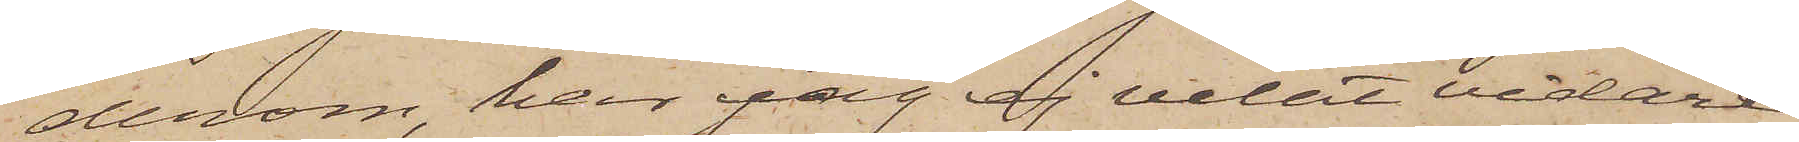derom, har jag ej velat vidare
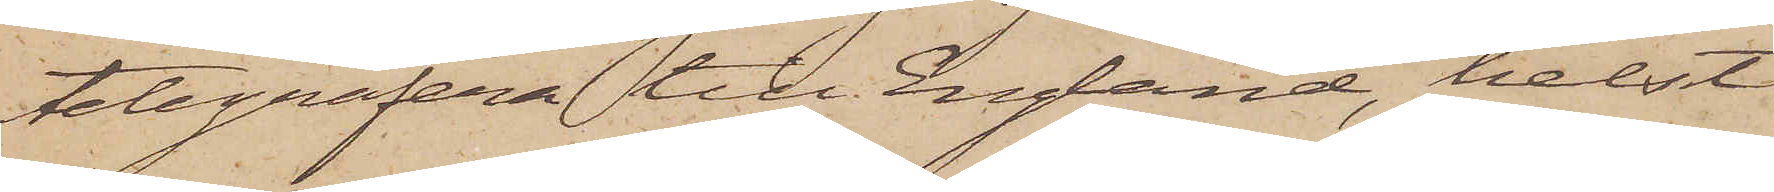telegrafera till England, helst
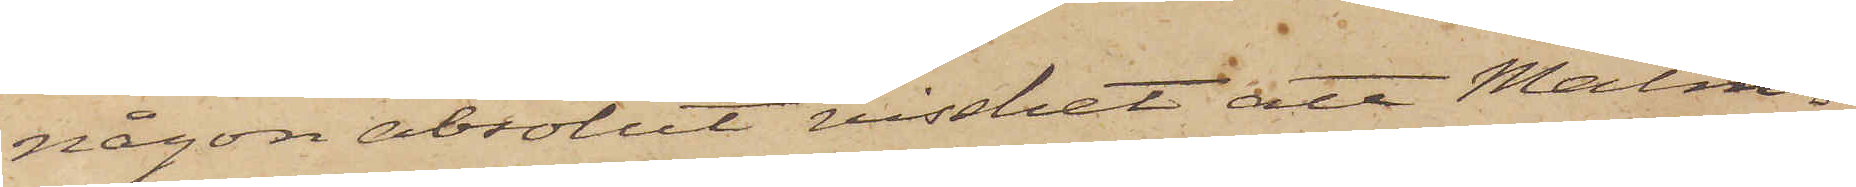någon absolut visshet att Malm¬
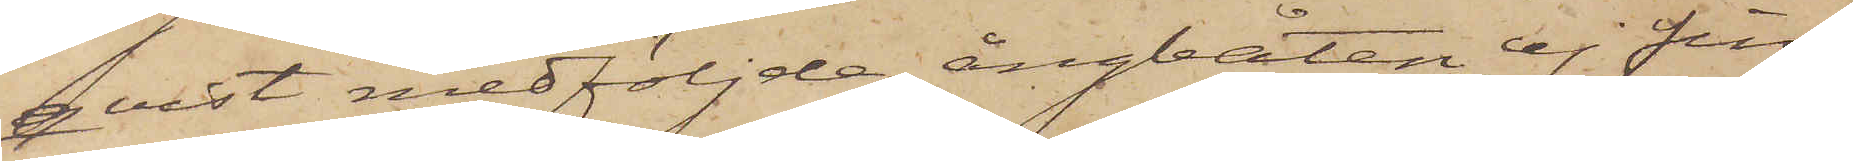qvist medföljde ångbåten ej fin¬
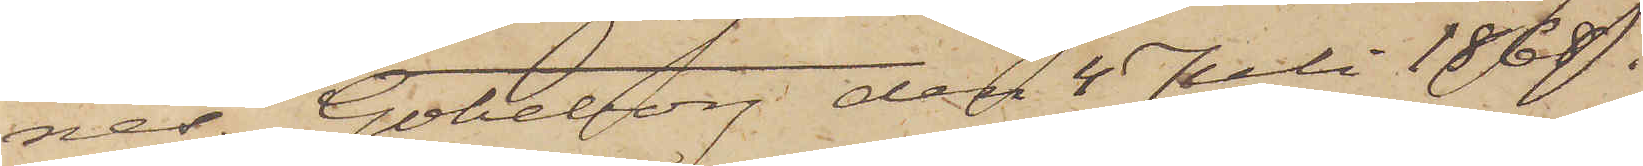nes. Göteborg den 4 Juli 1868.
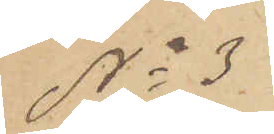No 3
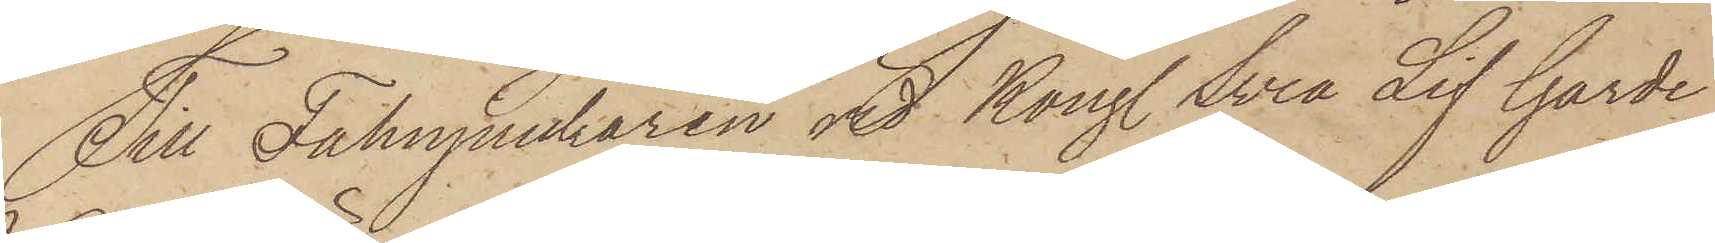Till Fahnjunkaren vid Kong. Svea Lif Garde
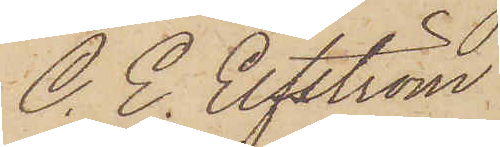C. E. Elfström.
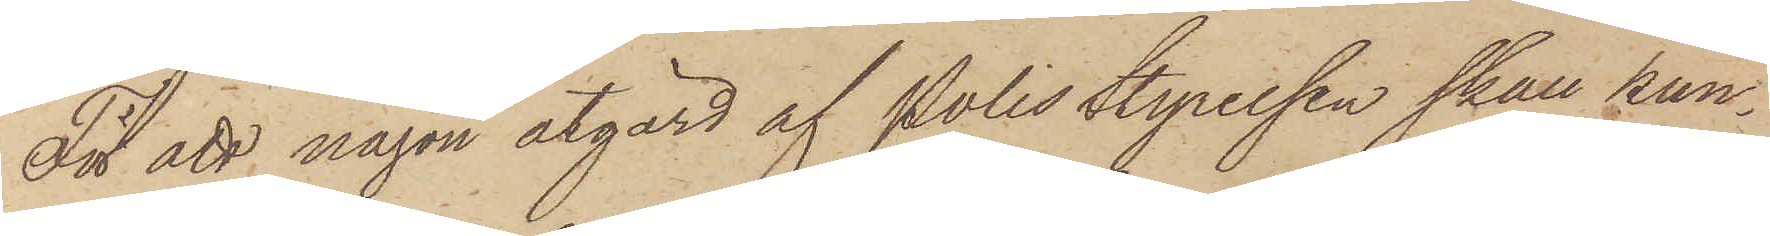För att någon åtgärd af Polisstyrelsen skall kun¬
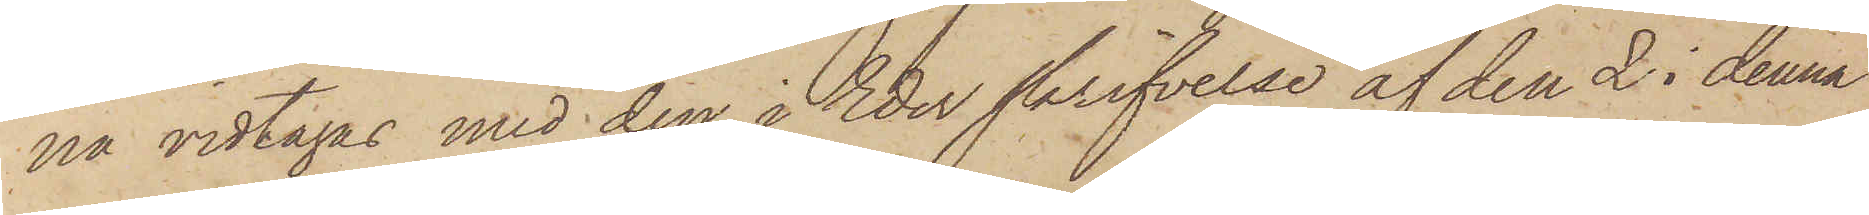na vidtagas med den i Eder skrifvelse af den 2 i denna
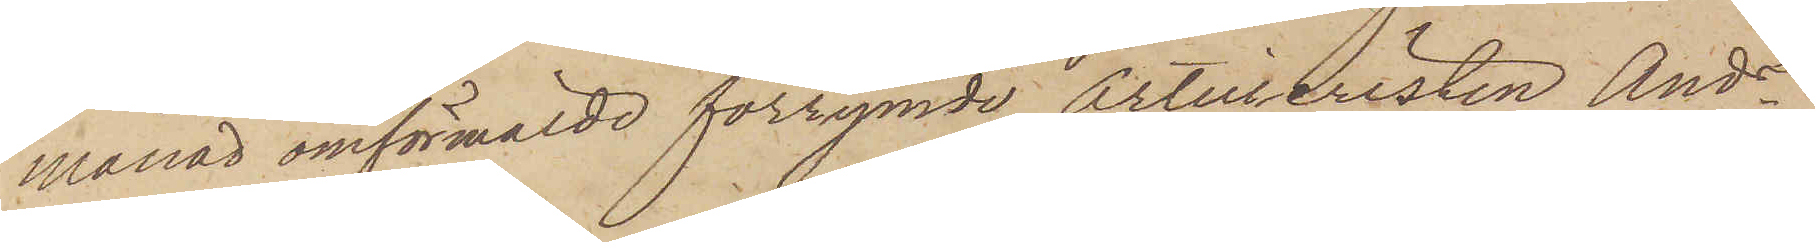månad omförmälde förrymde Artilleristen Andrs
